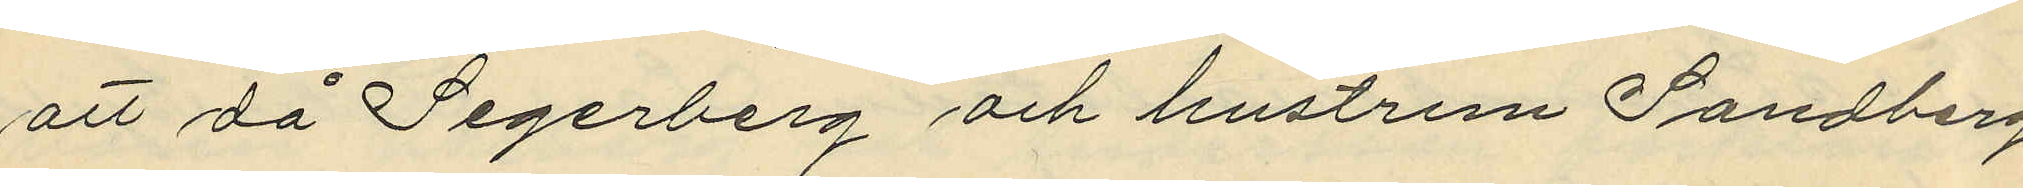att då Segerberg och hustrun Sandberg
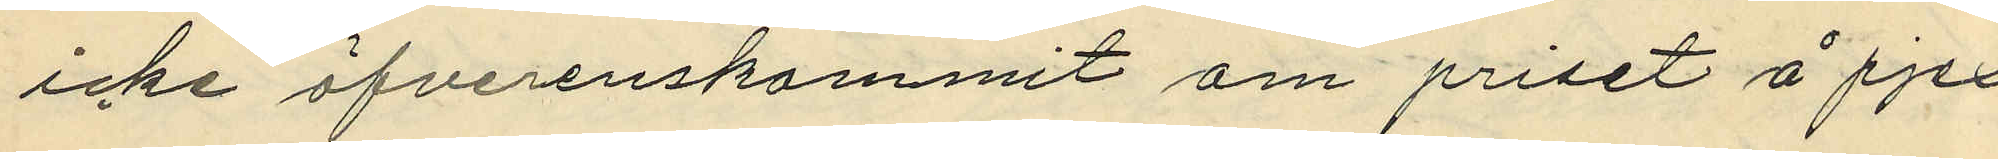icke öfverenskommit om priset å pjex¬
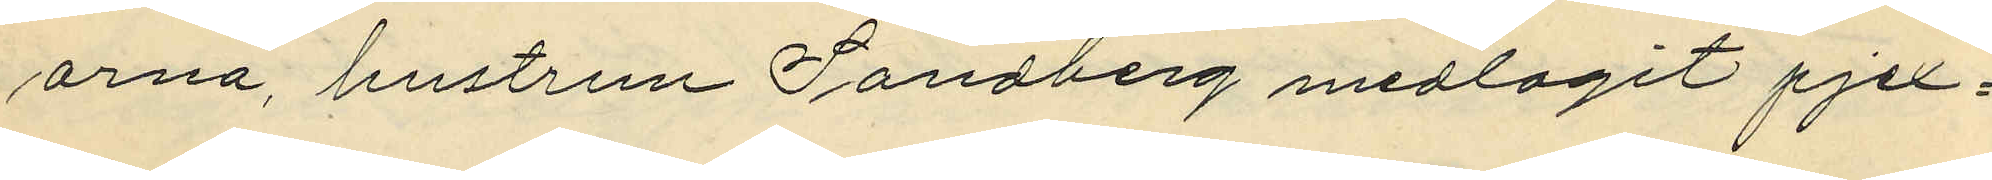orna, hustrun Sandberg medtagit pjex¬
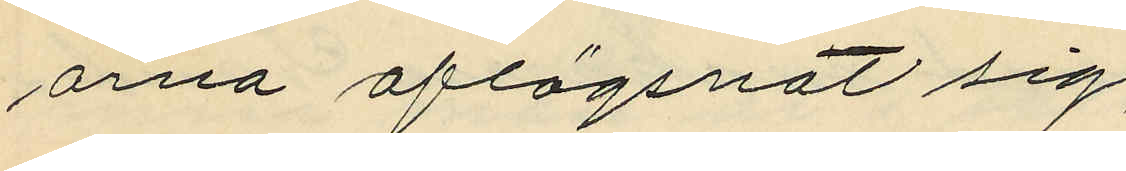orna aflägsnat sig;
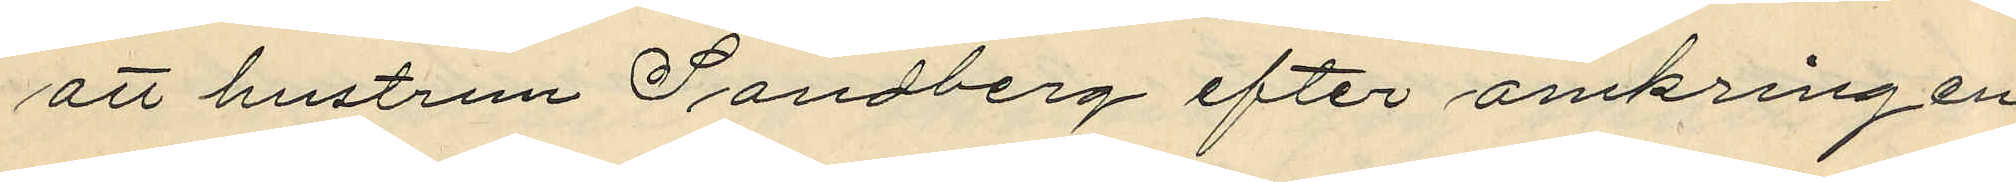att hustrun Sandberg efter omkring en
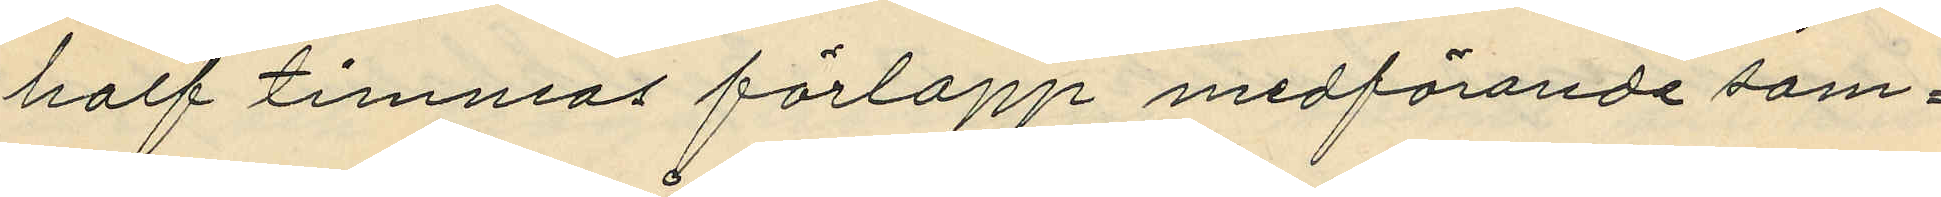half timmas förlopp medförande sam¬
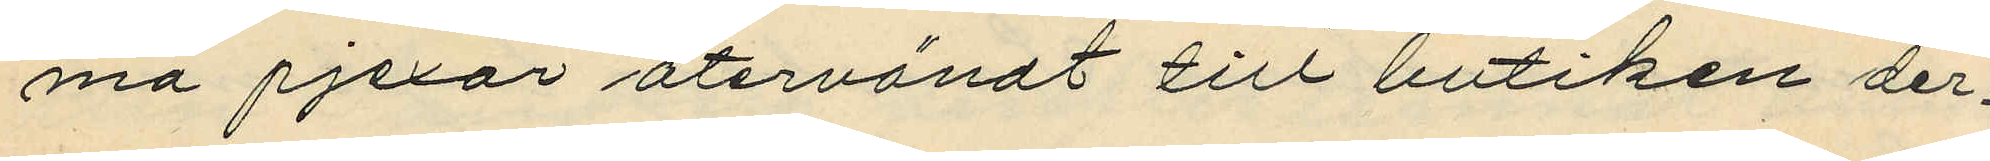ma pjexor återvändt till butiken der¬
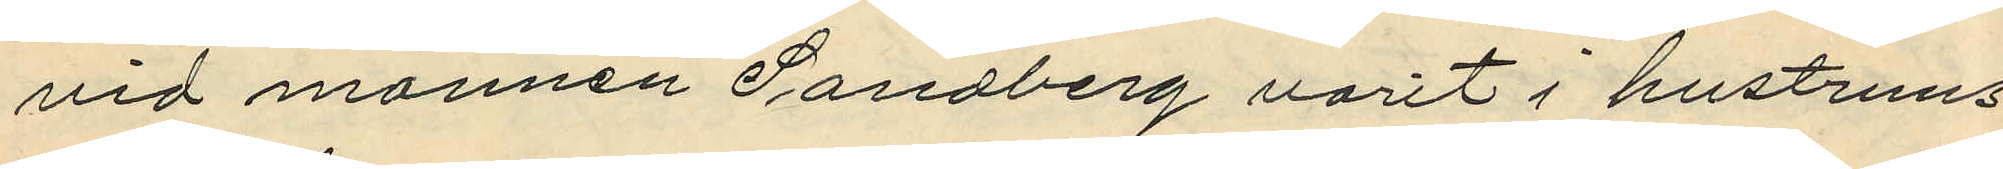vid mannen Sandberg varit i hustruns
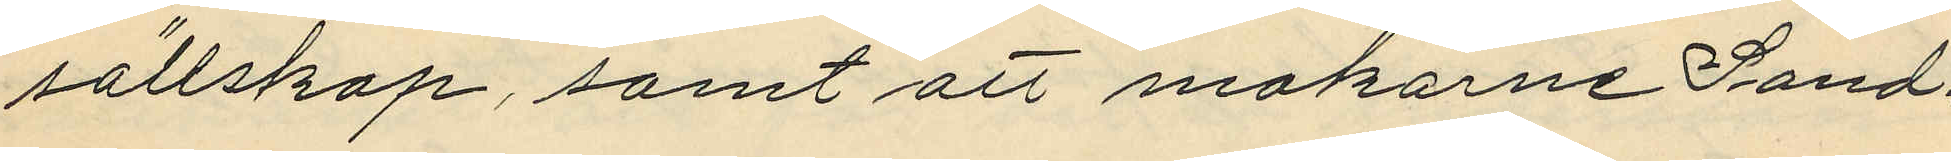sällskap, samt att makarne Sand¬
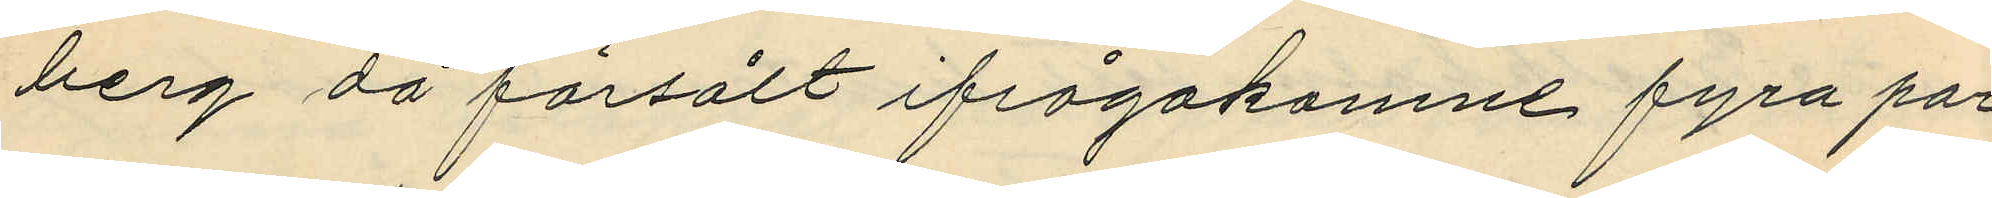berg då försålt ifrågakomne fyra par
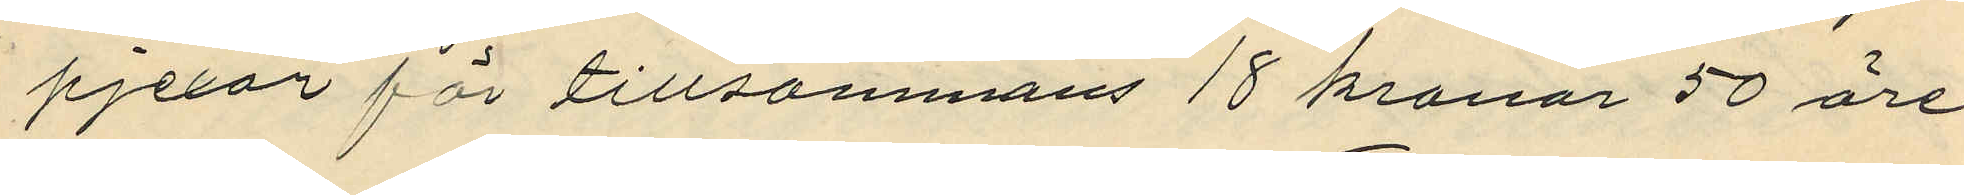pjexor för tillsammans 18 kronor 50 öre;
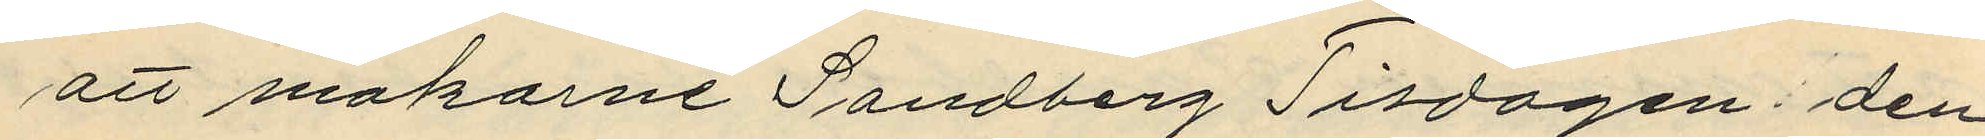att makarne Sandberg Tisdagen den
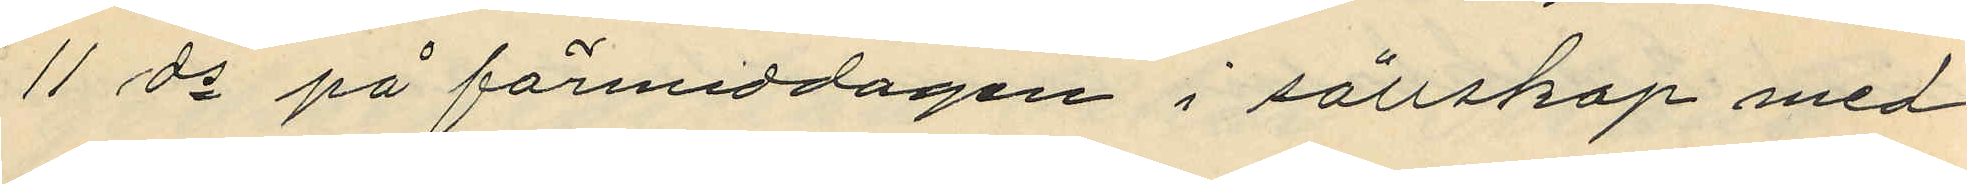11 ds på förmiddagen i sällskap med
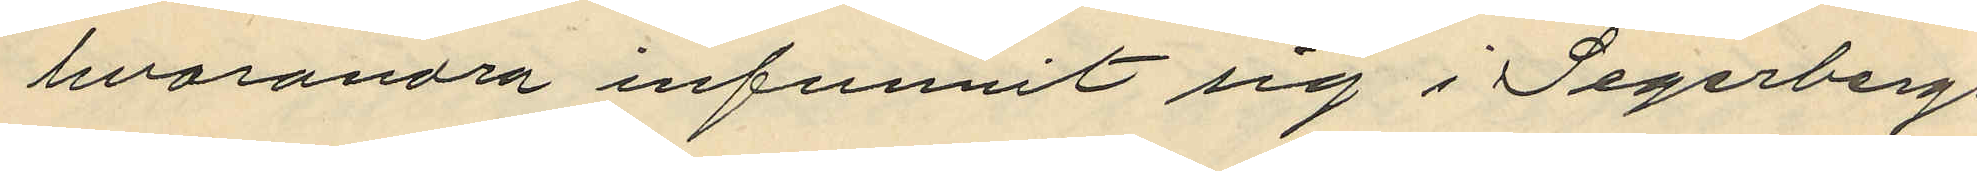hvarandra infunnit sig i Segerbergs
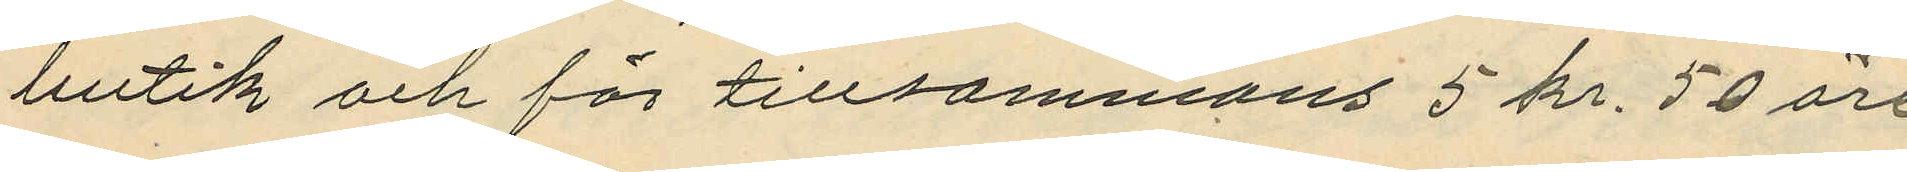butik och för tillsammans 5 kr 50 öre
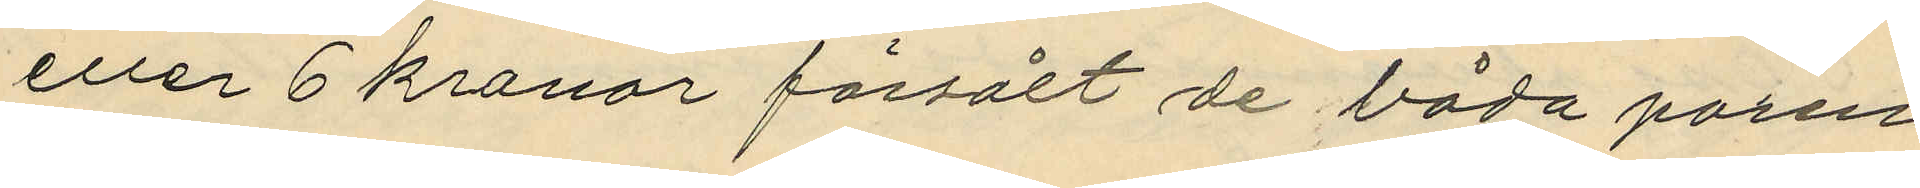eller 6 kronor försålt de båda paren
